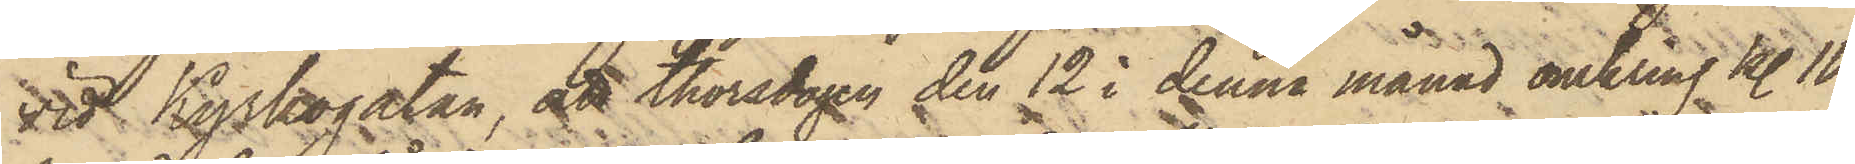vid Kyrkogatan, att thorsdagen den 12 i denna månad omkring kl. 10
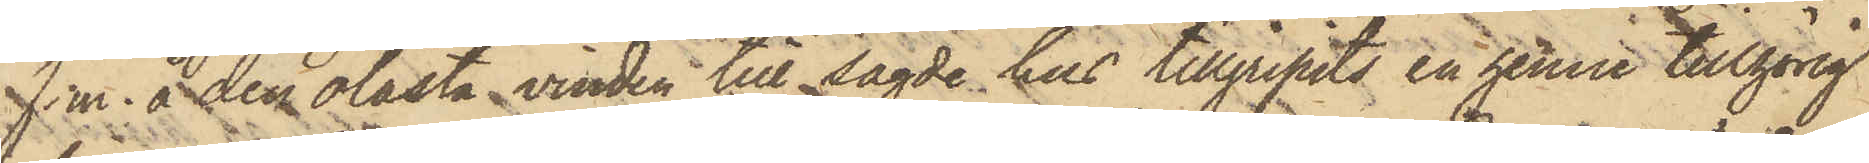f. m. å den olåsta vinden till sagde hus tillgripits en henne tillhörig
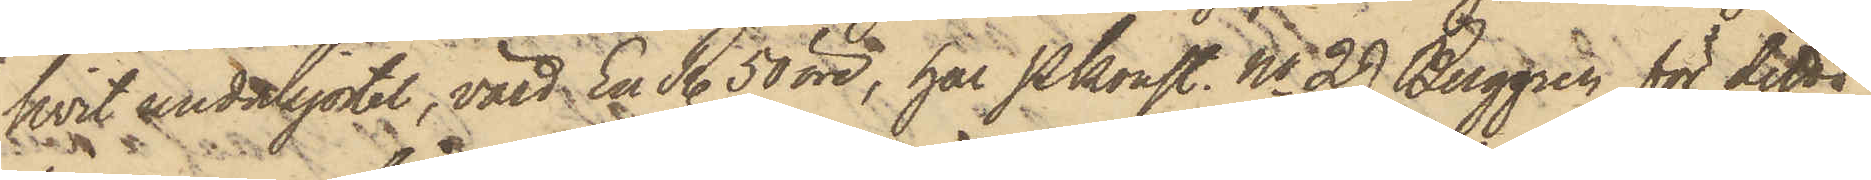hvit underkjortel, värd En R. 50 öre, har Pkonst. No 29 Berggren för detta
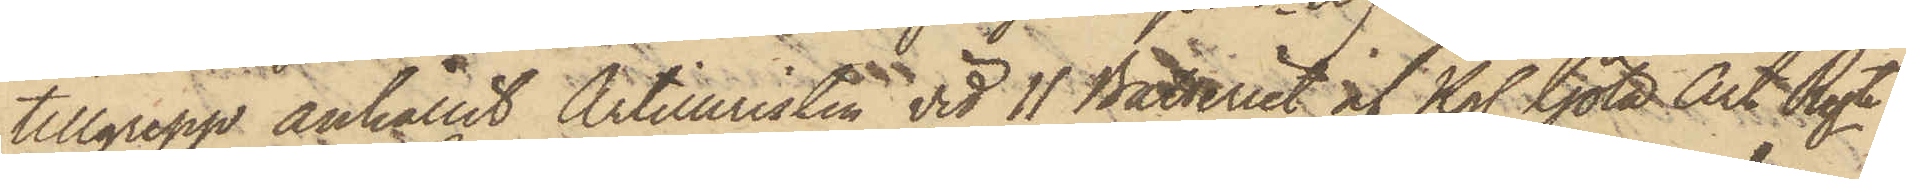tillgrepp anhållit Artilleristen vid 11 Batteriet af Kgl Göta Art Rgte
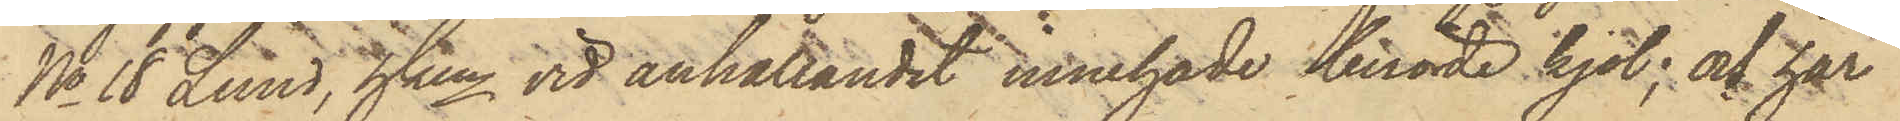No 18 Lund, hken vid anhållandet innehade berörde kjol; och har
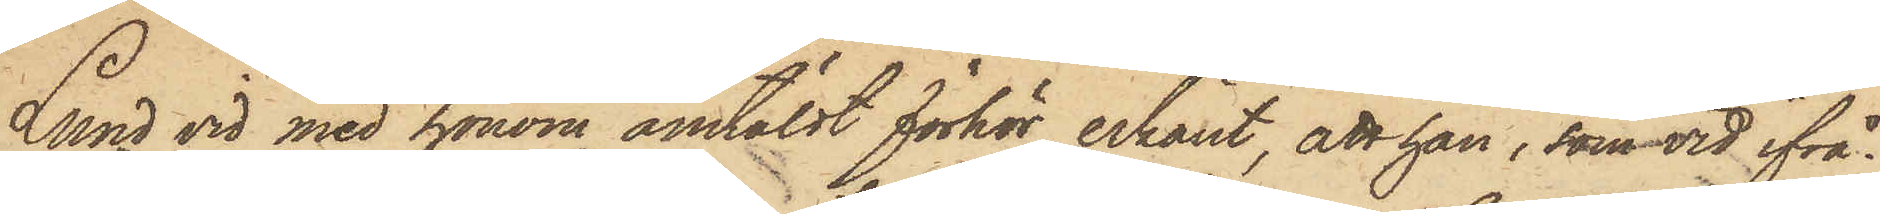Lund vid med honom anstäldt förhör erkänt, att han, som vid ifrå¬
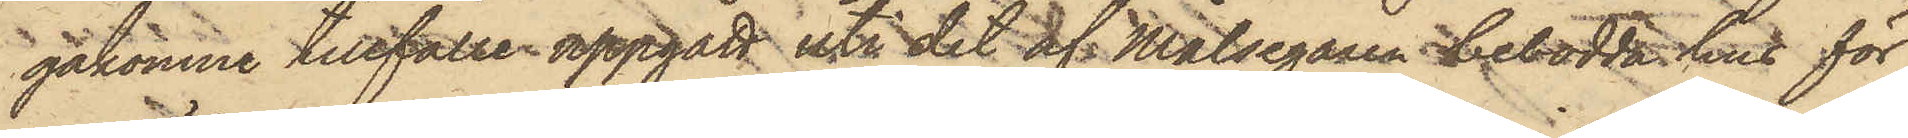gakomne tillfälle uppgått uti det af Målsegaren bebodda hus för
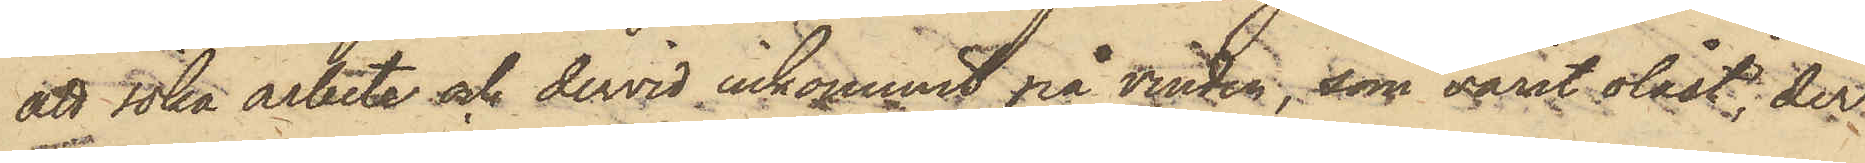att söka arbete och dervid inkommit på vinden, som varit olåst, der
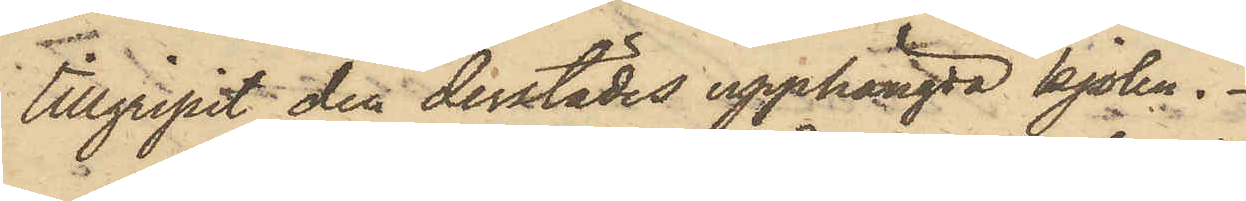tillgripit den derstädes upphängda kjolen.
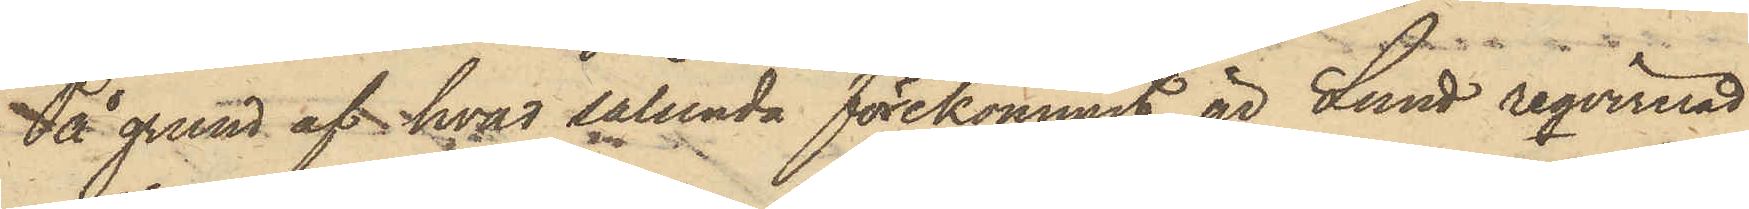På grund af hvad sålunda förekommit, är Lund reqvirerad
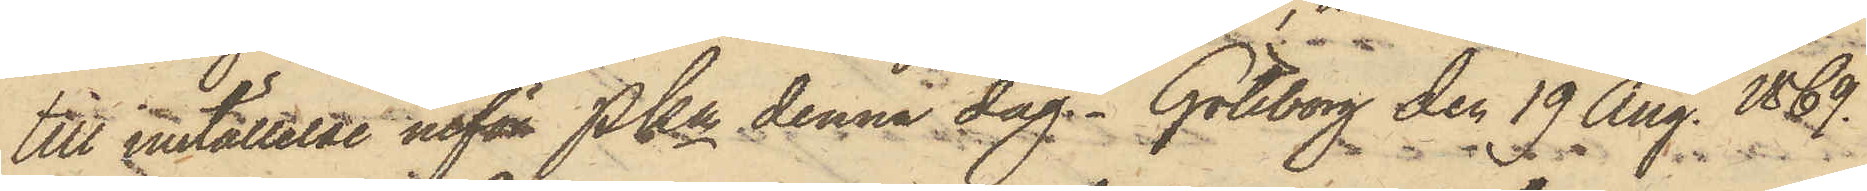till inställelse inför Pkn denna dag. Göteborg den 19 Aug. 1869.
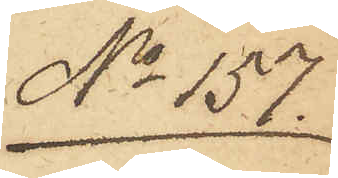No 157.
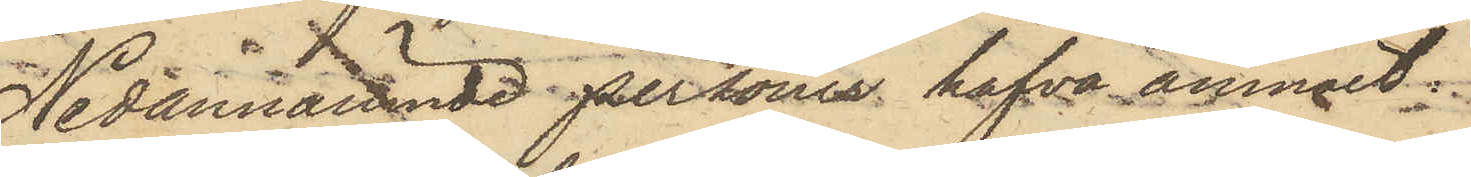Nedannämnde personer hafva anmält:
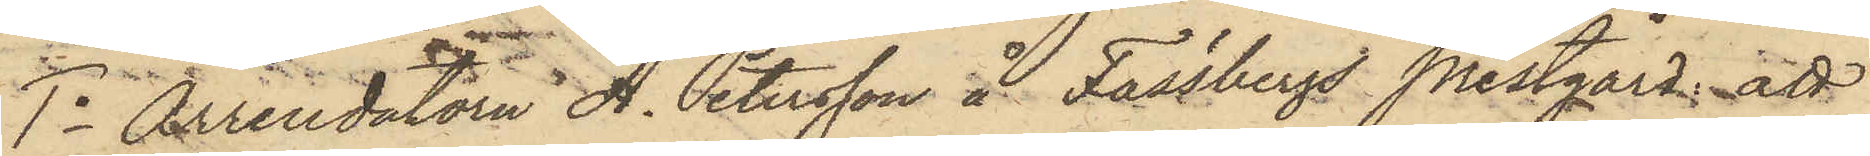1o Arrendatorn A. Petersson å Fässbergs Prestgård; att
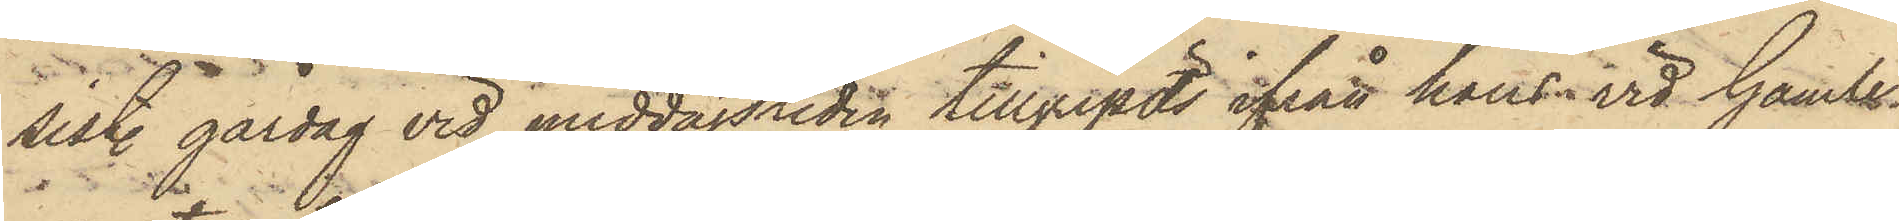sist. gårdag vid middagstiden tillgripits ifrån hans vid Gamle¬
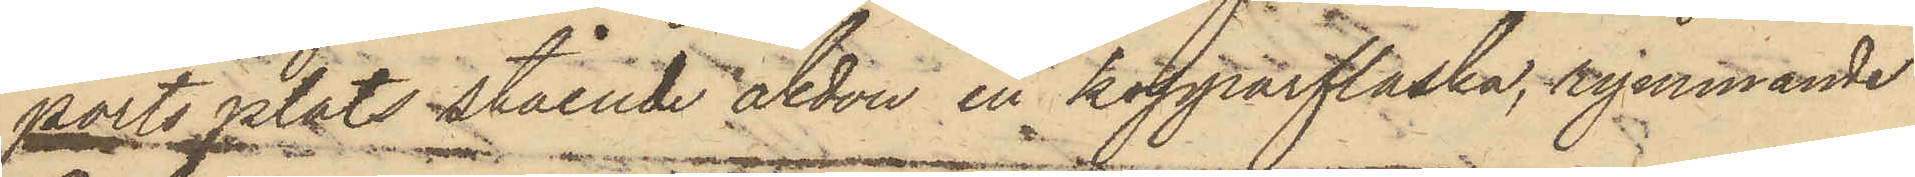ports plats stående åkdon en kopparflaska, rymmande
